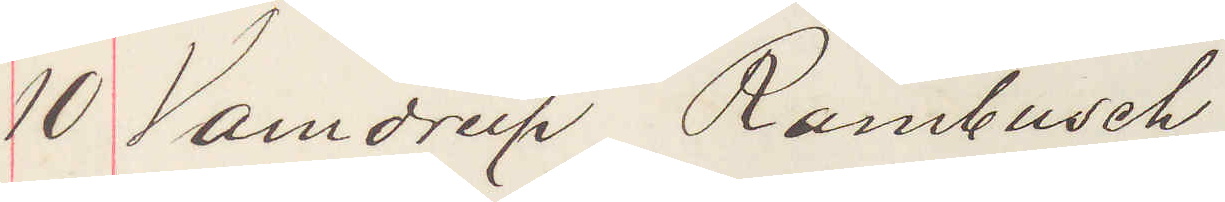10 Vandrup Rambusch
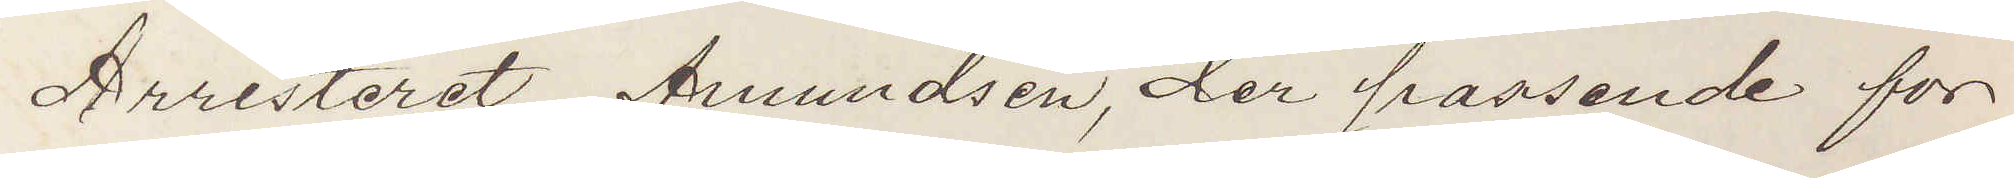Arresteret Amundsen, der passende for
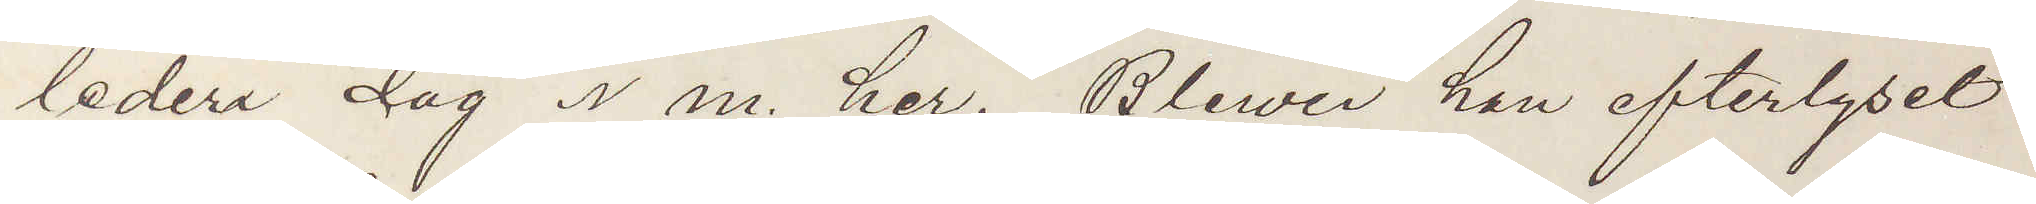ledera dag i m. her. Bliwer han efterlyset
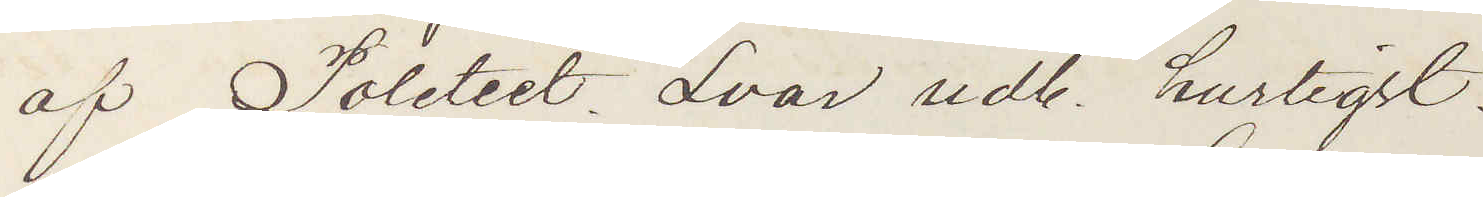af Politiet Svar udb. hurtigst.
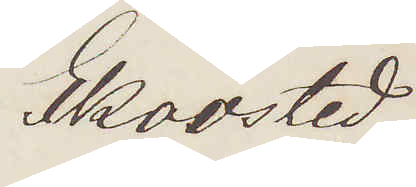Skovsted
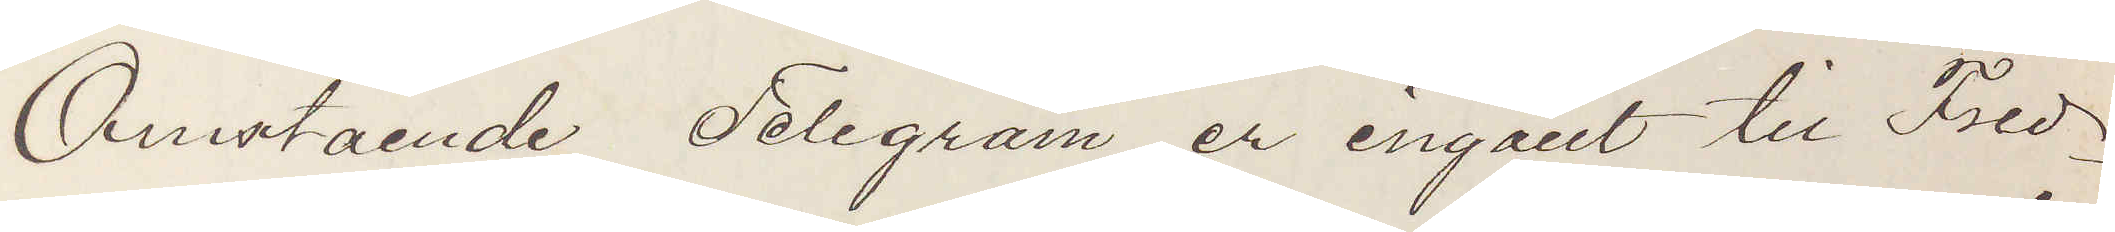Omstående Telegram er ingået til Fred¬
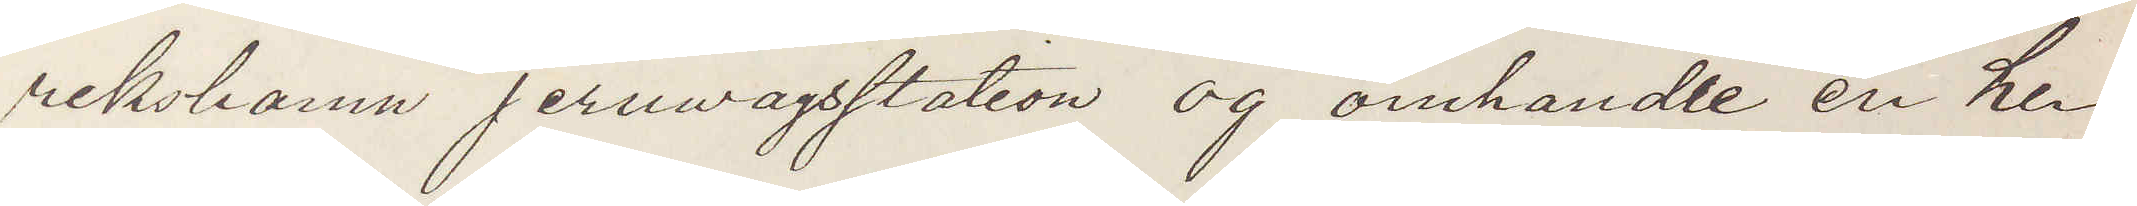rikshamn jernvagsstation og omhandle en her¬
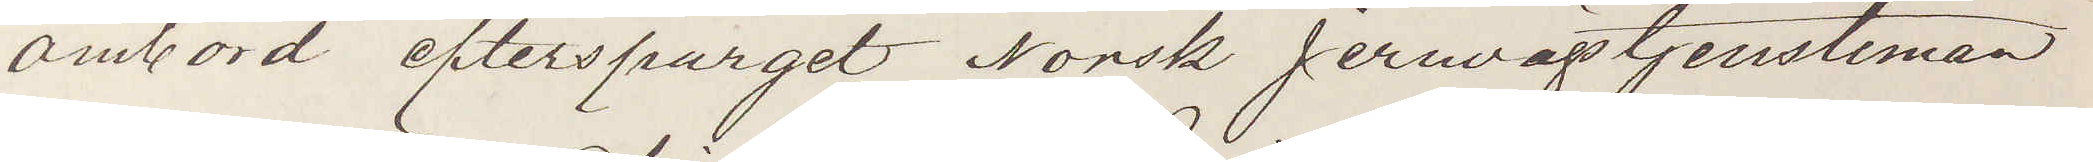ombord efterspurget Norsk Jernvägstjensteman
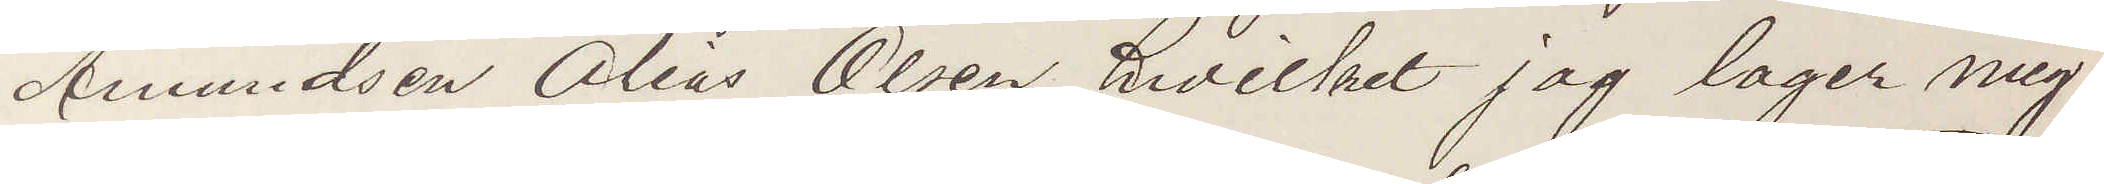Amundsen Alias Olsen, hvilket jag lager mig
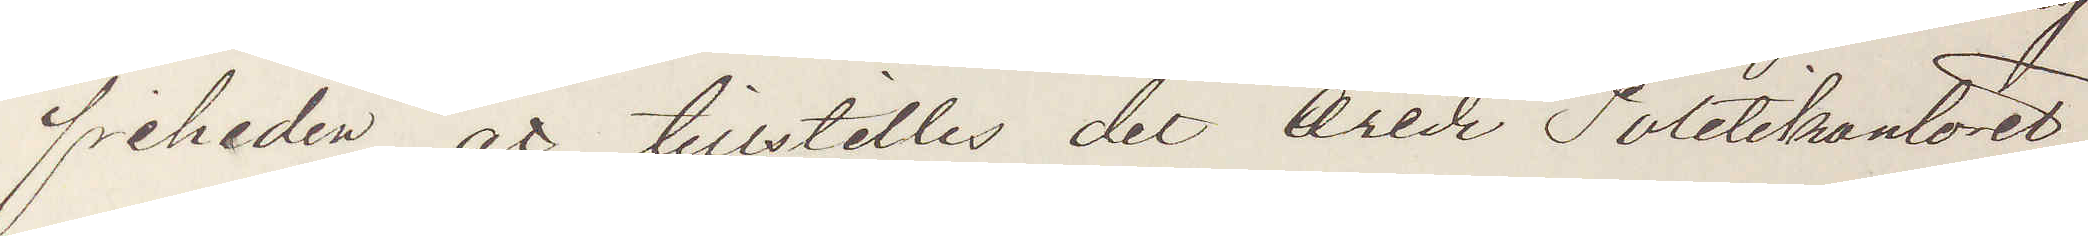friheden att tillstelles det arede Poletikontoret
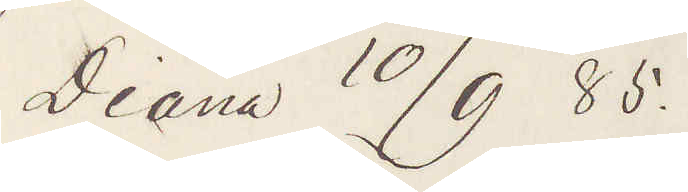Diana 10/9 85.
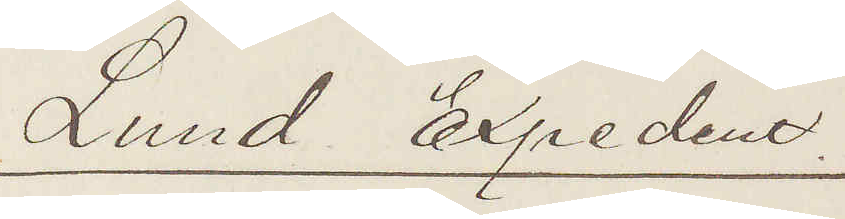Lund Expedent
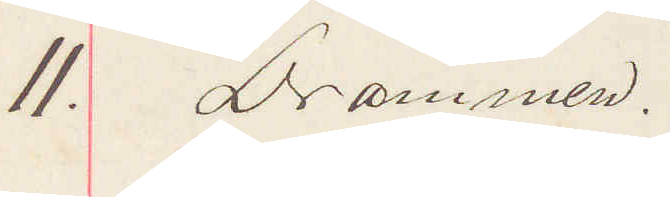11. Drammen.
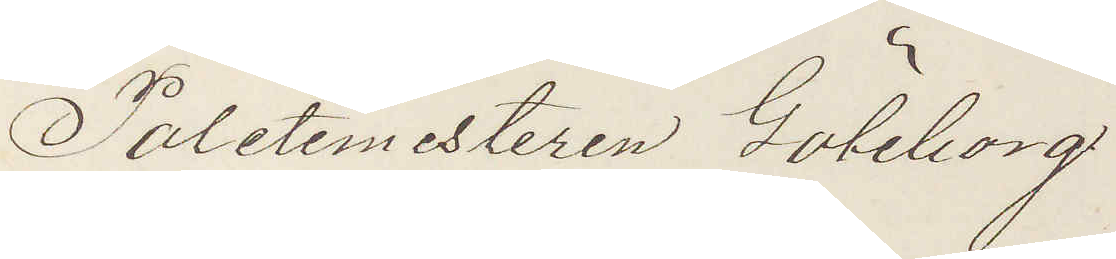Poletimestaren Göteborg
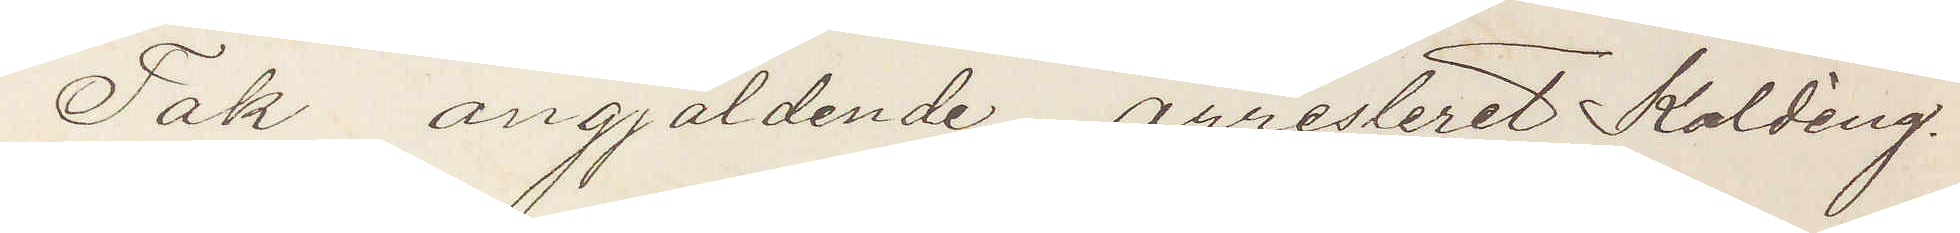Tak angjäldende arresteret Kolding.
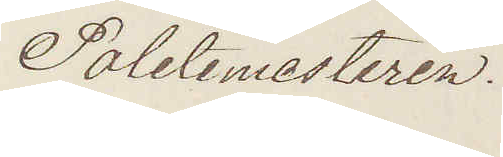Poletimesteren.
